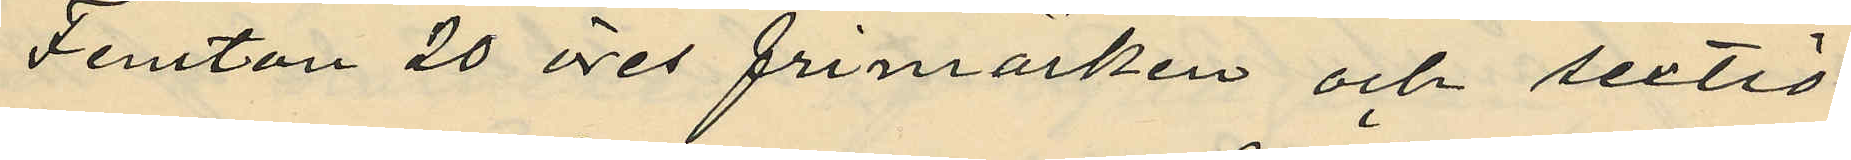Femton 20 öres frimärken och sextio
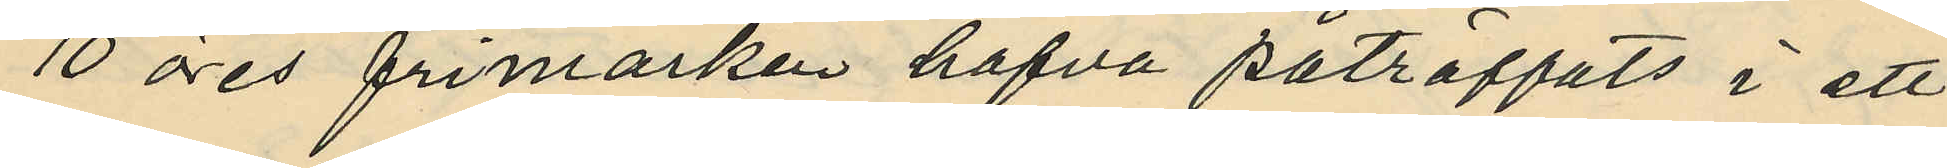10 öres frimärken hafva påträffats i ett
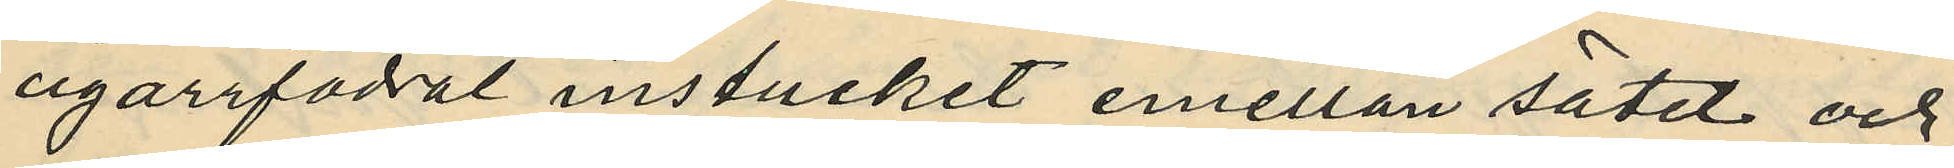cigarrfodral instucket emellan sätet och
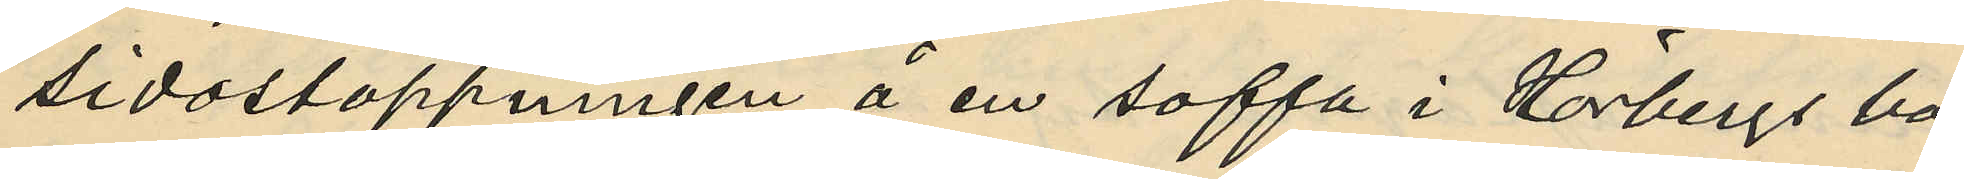sidostoppningen å en soffa i Hörbergs bo¬
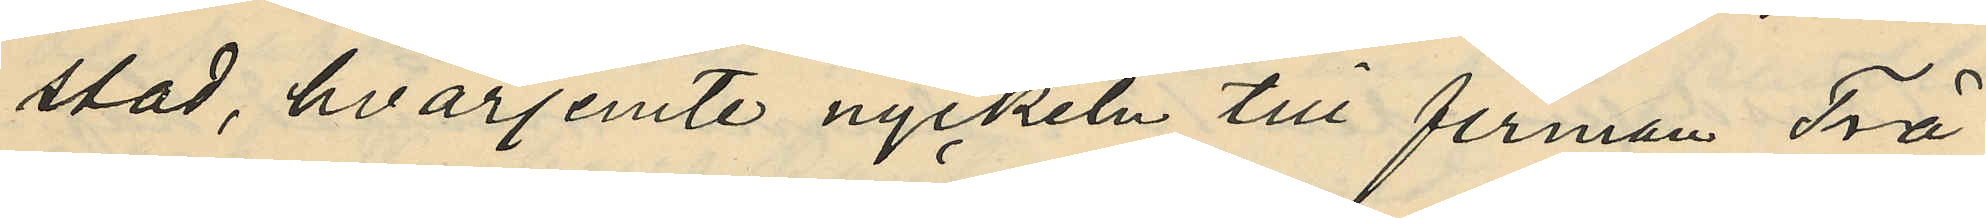stad, hvarjemte nyckeln till firman Trä¬
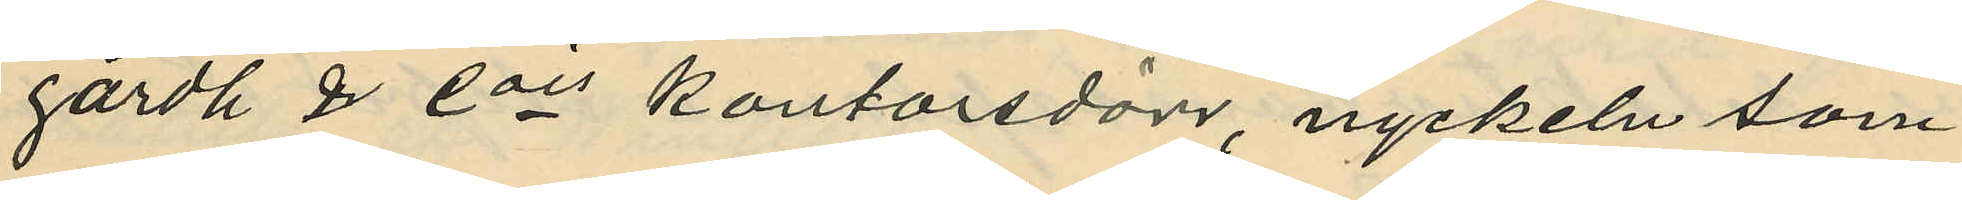gårdh & Cos kontorsdörr, nyckeln som
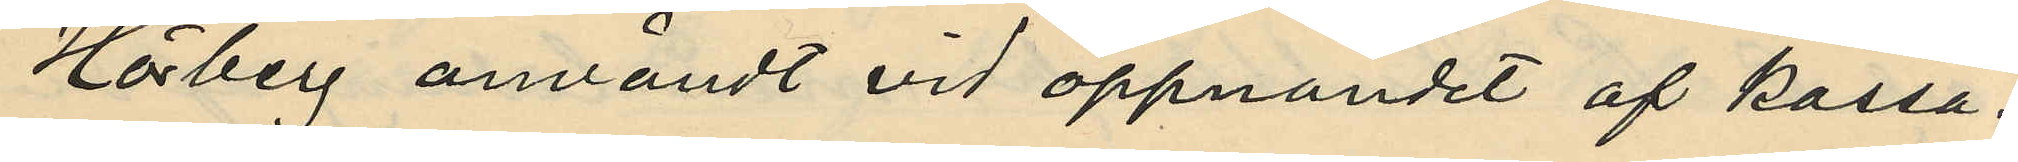Hörberg användt vid öppnandet af kassa¬
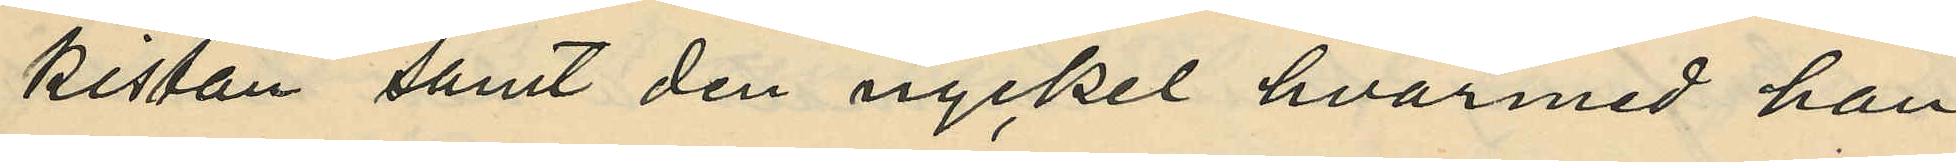kistan samt den nyckel hvarmed han
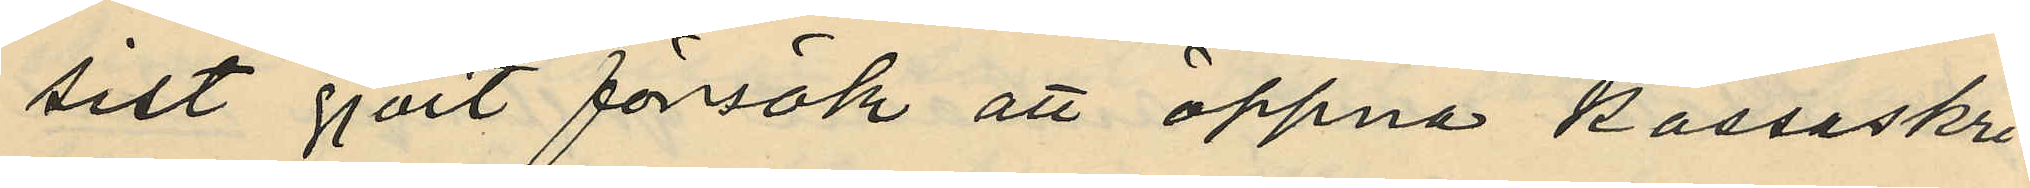sist gjort försök att öppna kassaskri¬
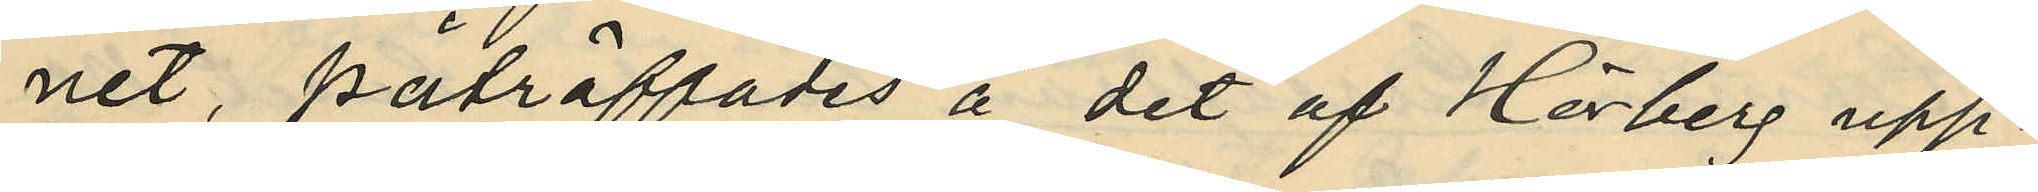net, påträffades å det af Hörberg upp¬
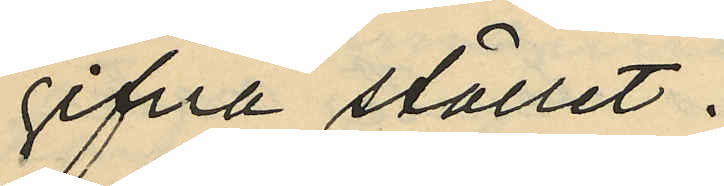gifvna stället.
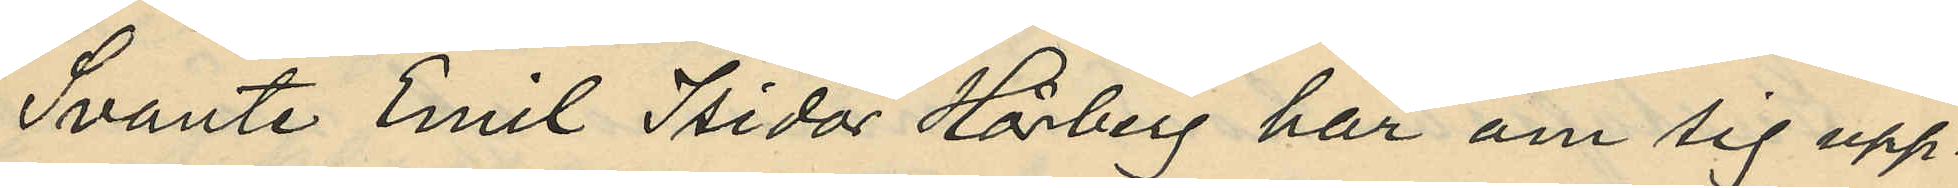Svante Emil Isidor Hörberg har om sig upp¬
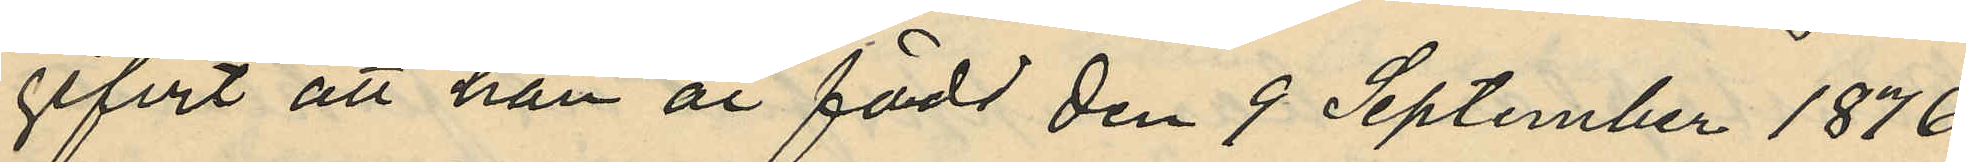gifvit att han är född den 9 September 1876
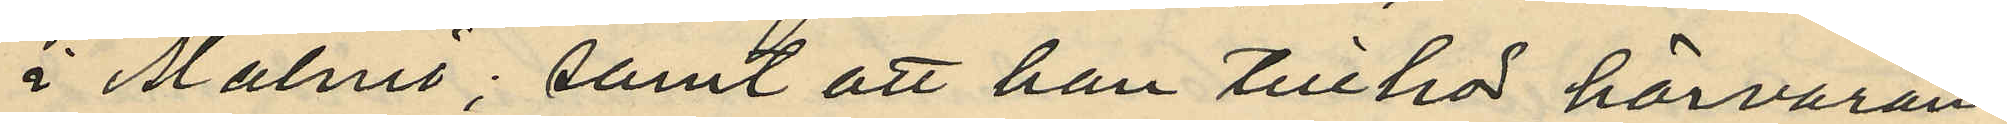i Malmö; samt att han tillhör härvaran¬
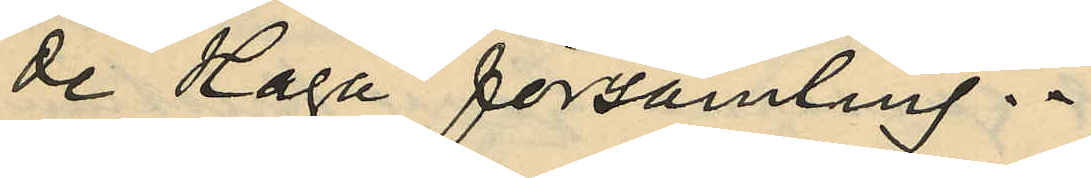de Haga församling.
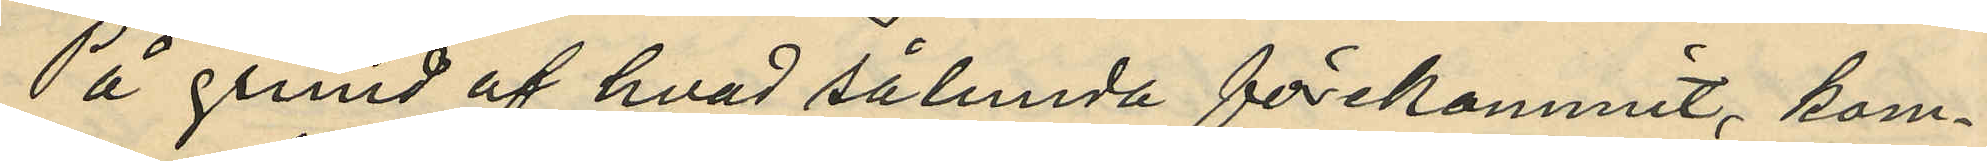På grund af hvad sålunda förekommit, kom¬
